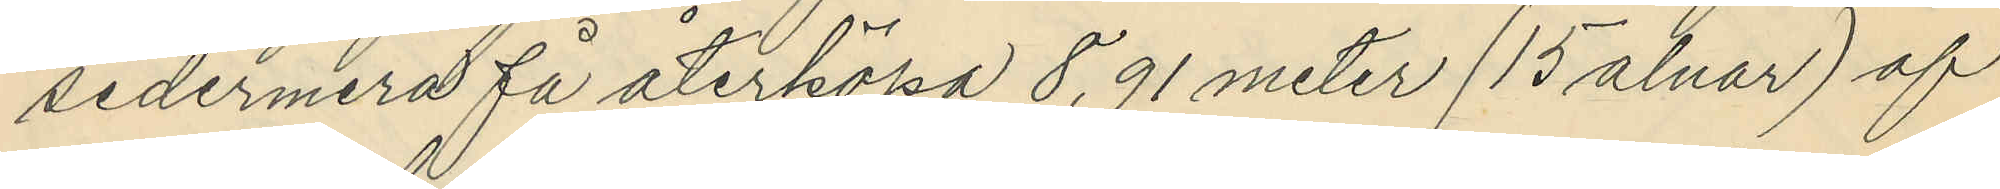sedermera få återköpa 8,91 meter (15 alnar) af
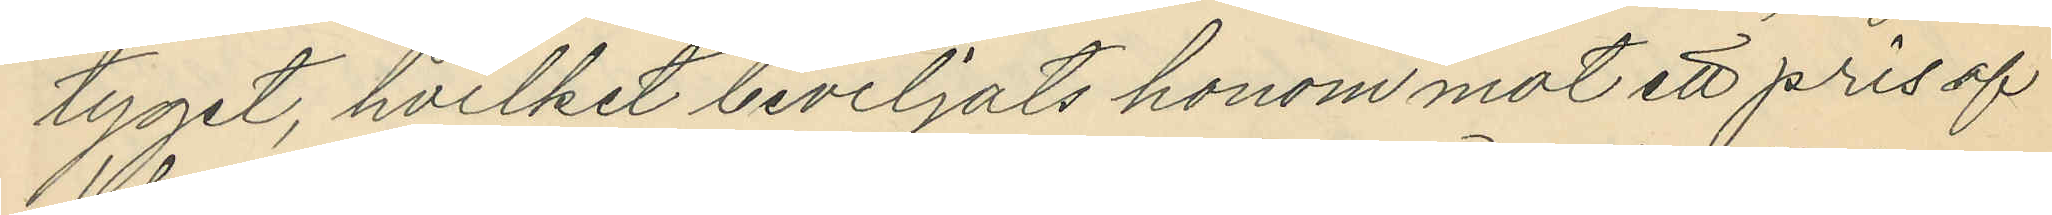tyget, hvilket beviljats honom mot ett prisaf
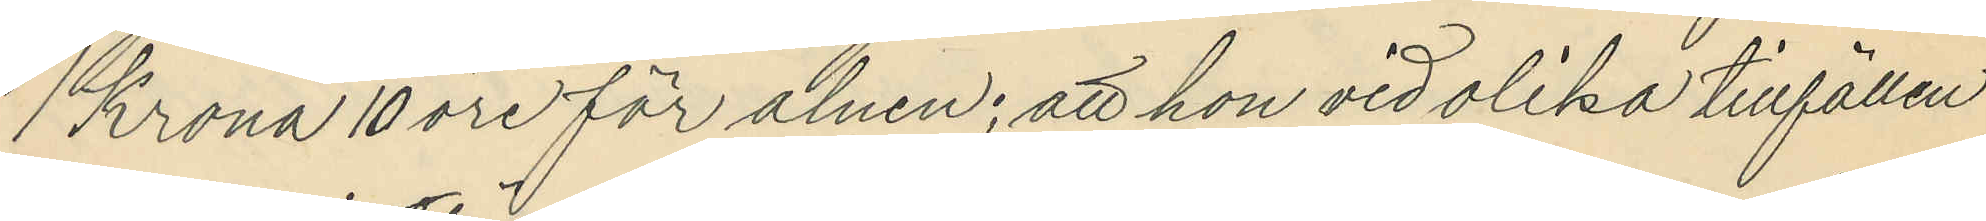1 Krona 10 öre för alnen; att hon vid olika tillfällen
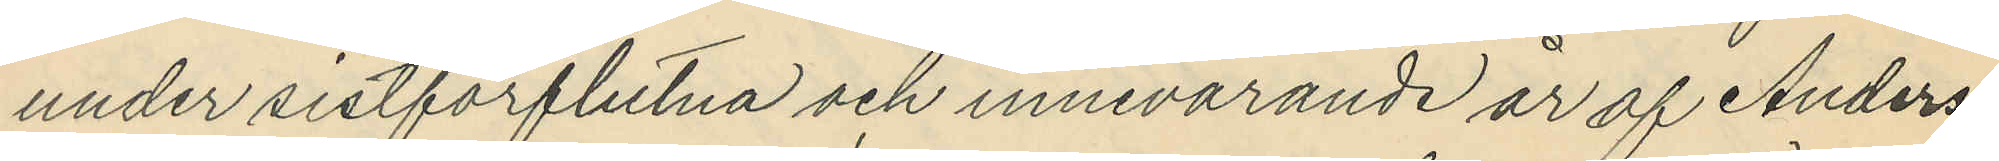under sistförflutna och innevarande år af Anders¬
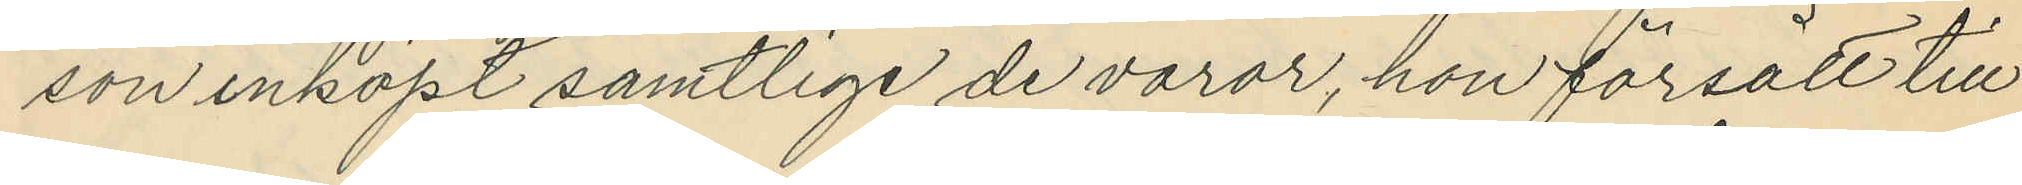son inköpt samtlige de varor, hon försålt till
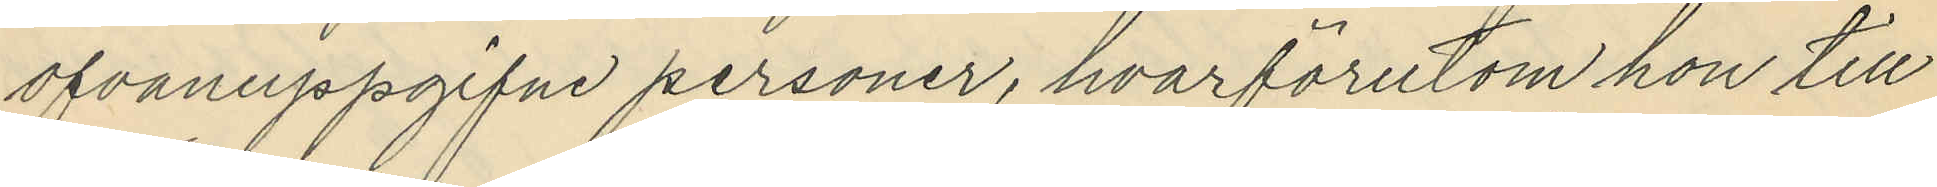ofvanuppgifne personer, hvarförutom hon till
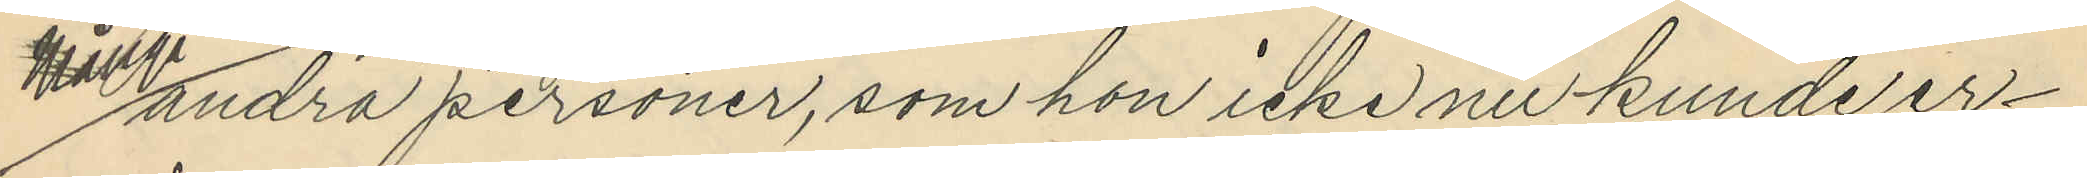många andra personer, som hon icke nu kunde er¬
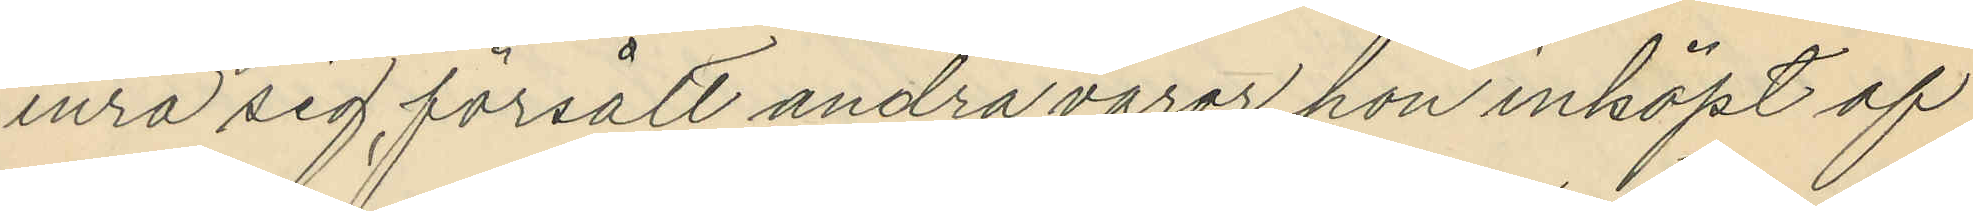inra sig, försålt andra varor hon inköpt af
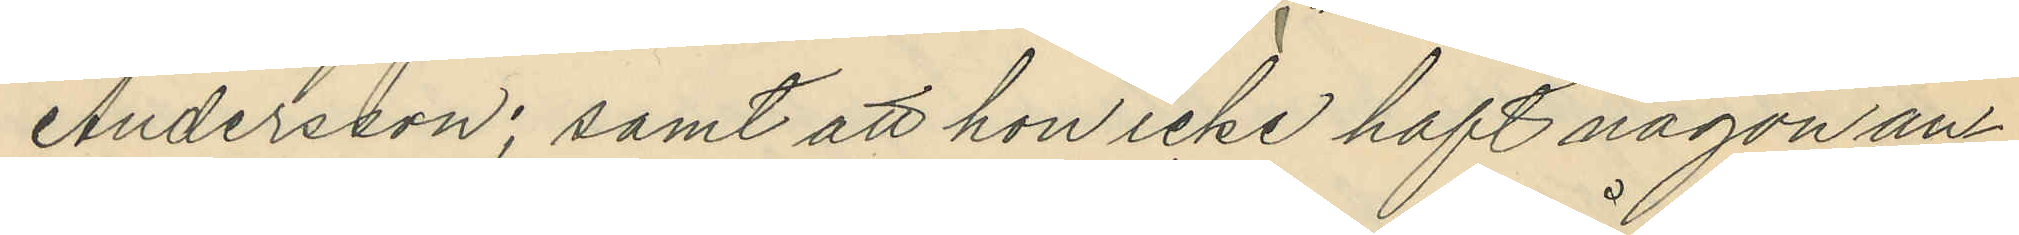Andersson; samt att hon icke haft någon an¬
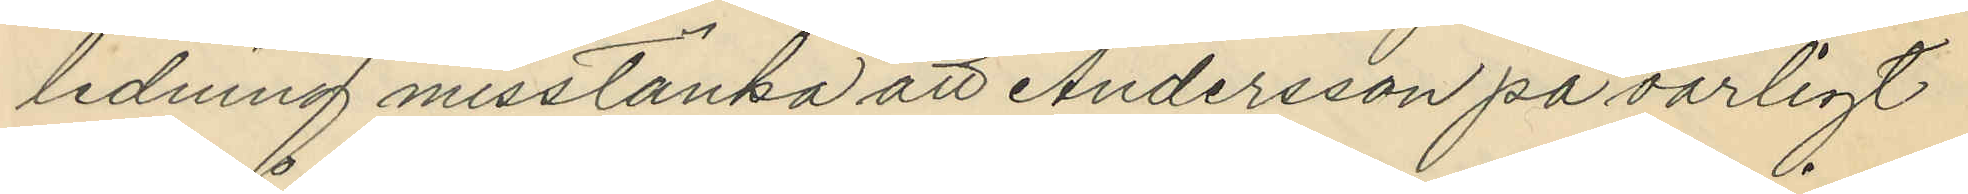ledning misstänka att Andersson på oärligt
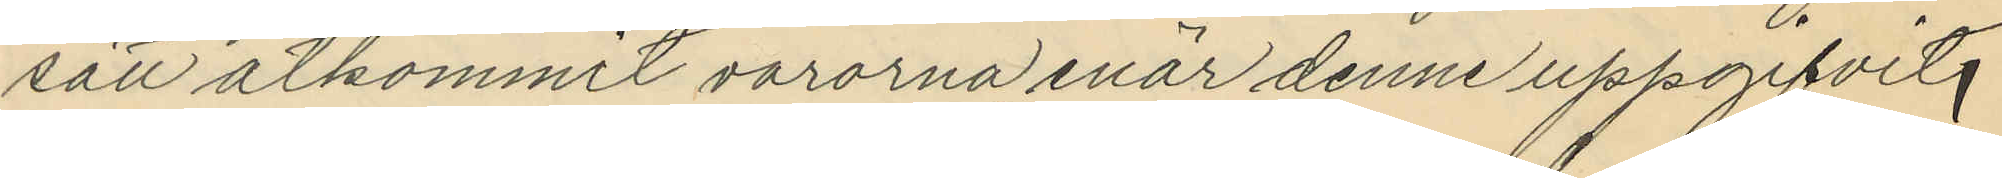sätt åtkommit varorna enär denne uppgifvit,
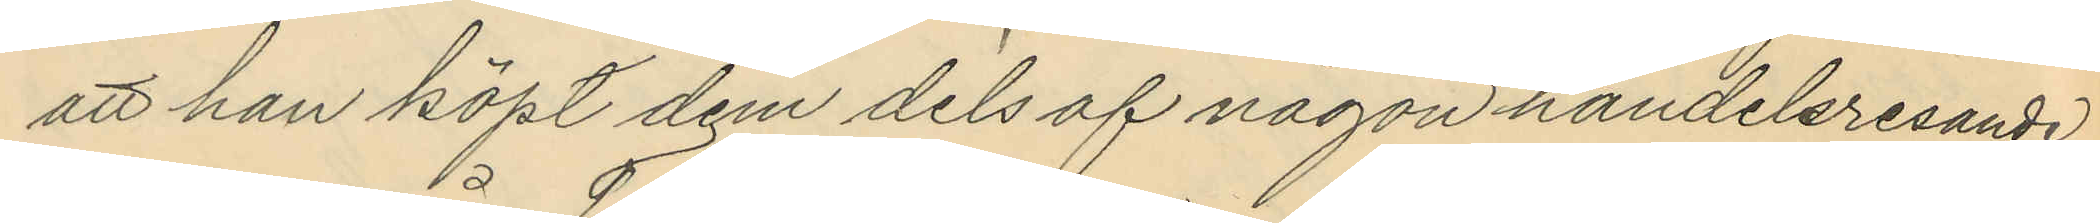att han köpt dem dels af någon handelsresande
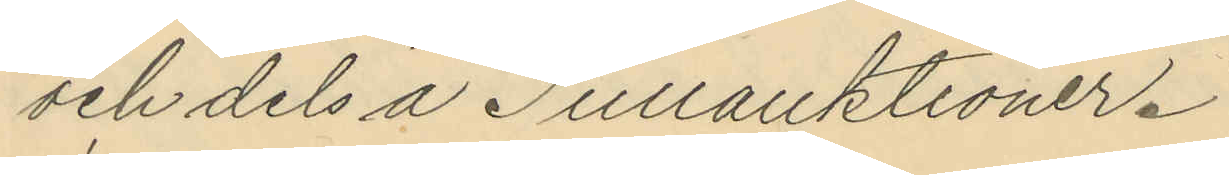och dels å Tullauktioner.
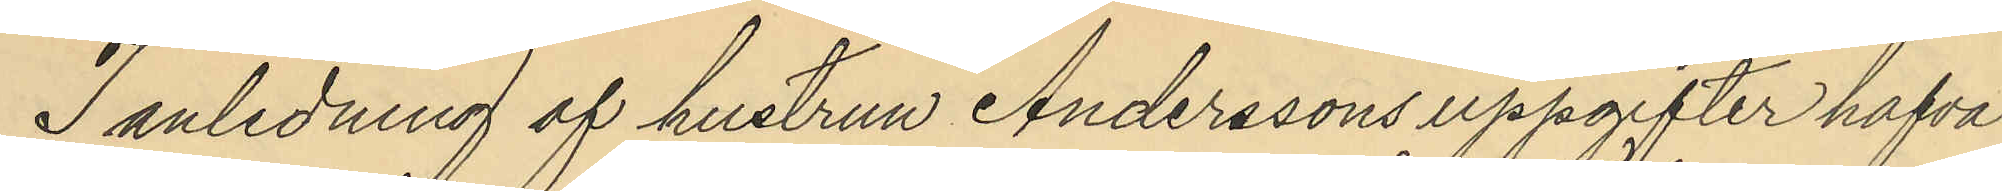I anledning af hustrun Anderssons uppgifter hafva
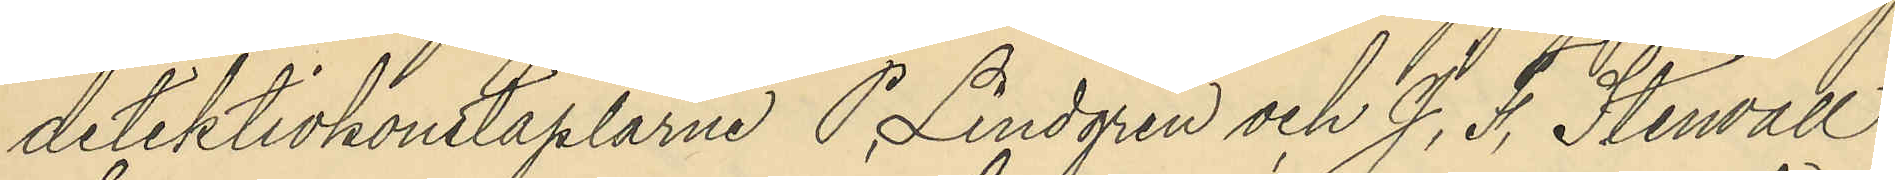detektivkonstaplarne P. Lindgren och J. F. Stenvall
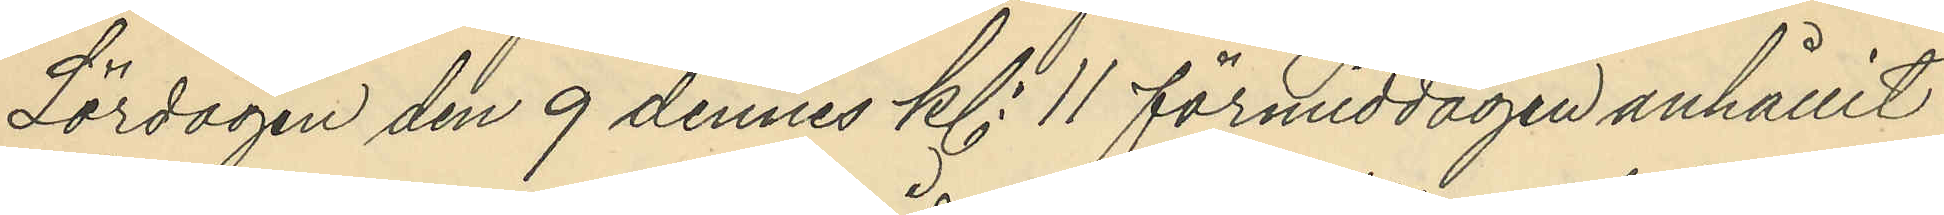Lördagen den 9 dennes kl. 11 förmiddagen anhållit
